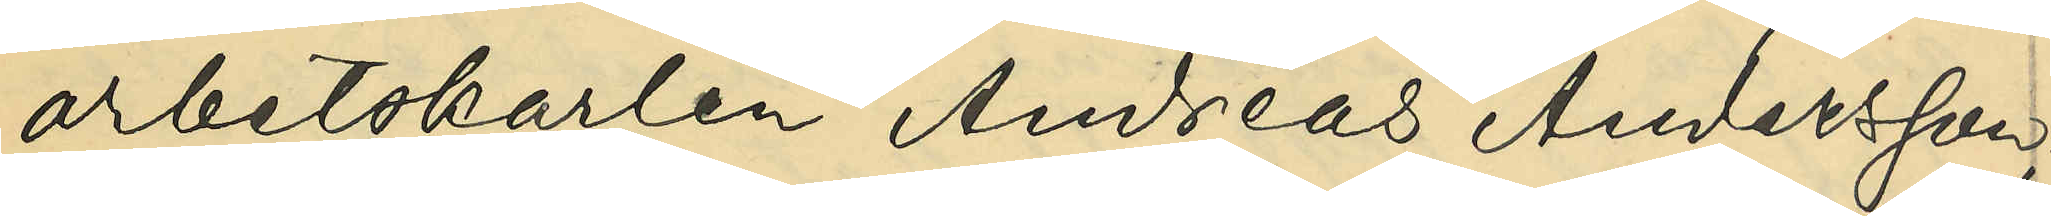arbetskarlen Andreas Andersson; 
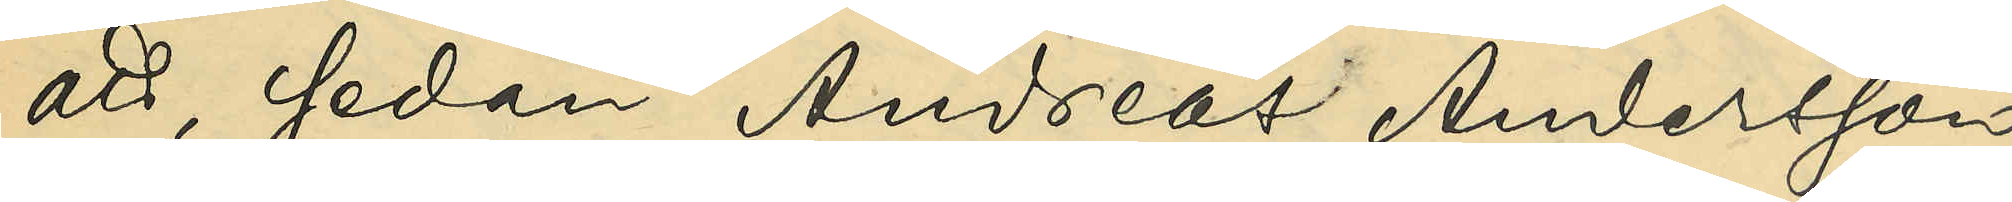att, sedan Andreas Andersson
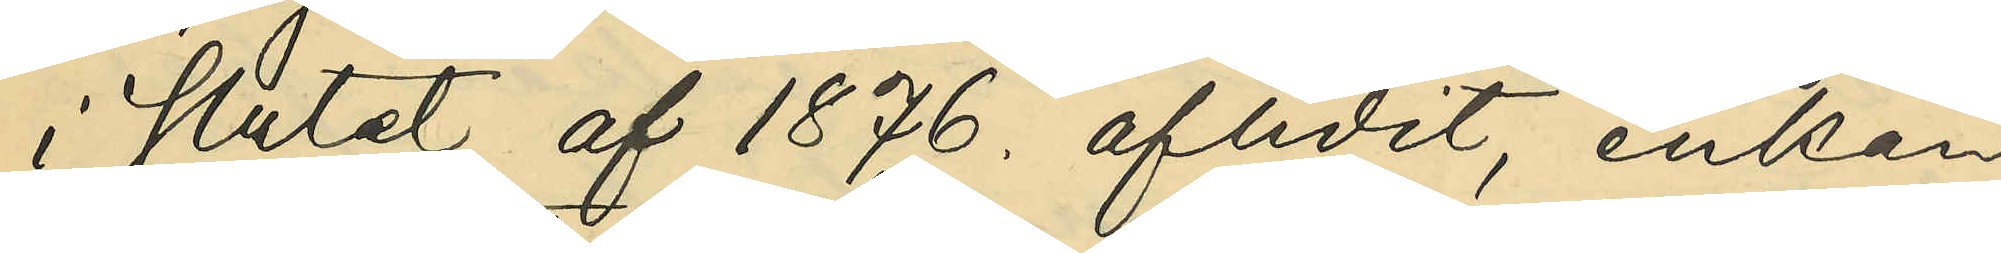i slutet af 1876 aflidit, enkan
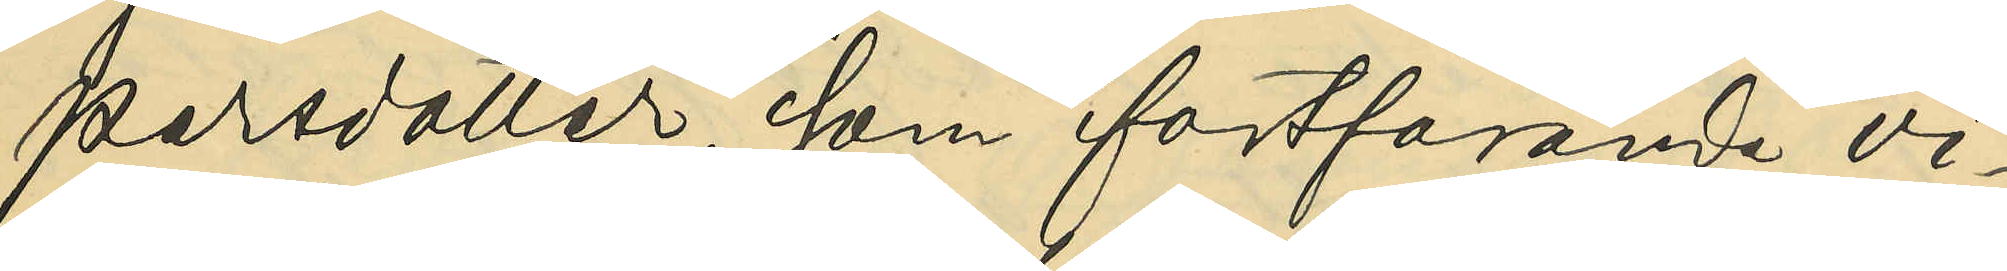Persdotter, som fortfarande vi¬
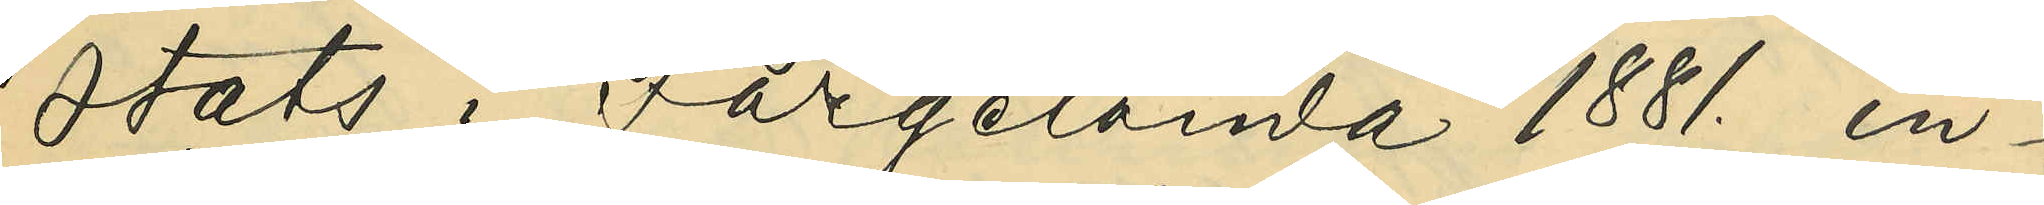stats i Färgelanda 1881 in¬
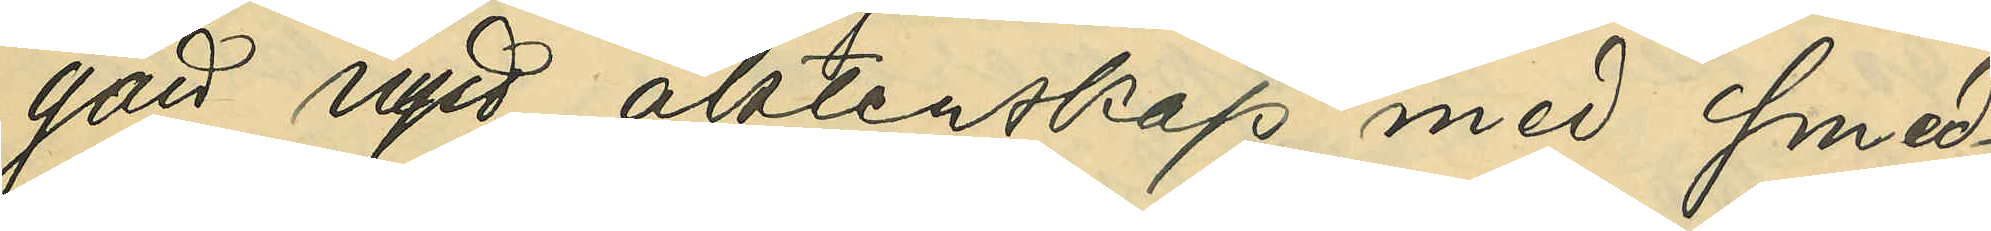gått nytt äktenskap med smed¬
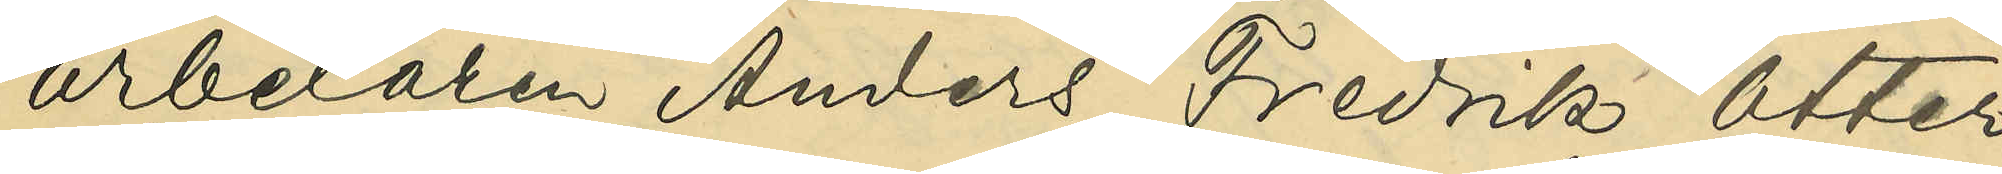arbetaren Anders Fredrik Otter
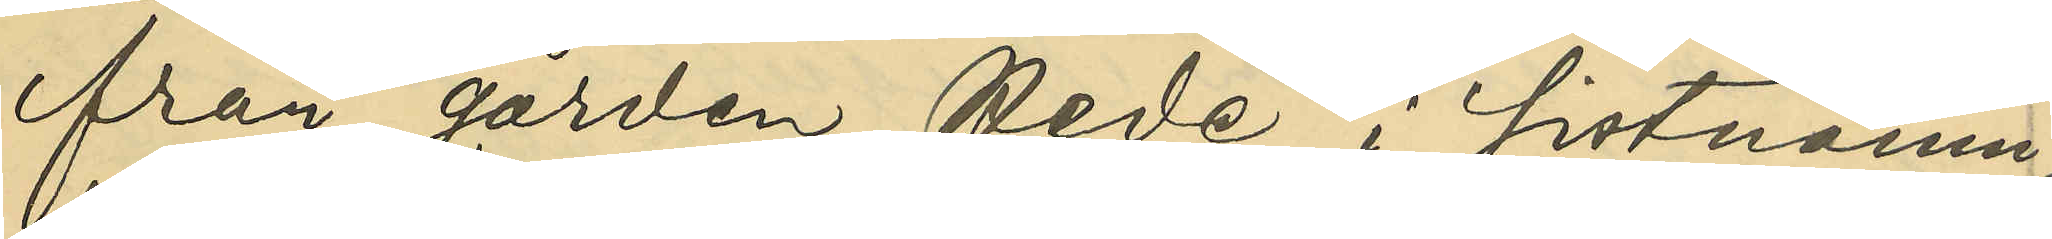från gården Hede i sistnämn¬
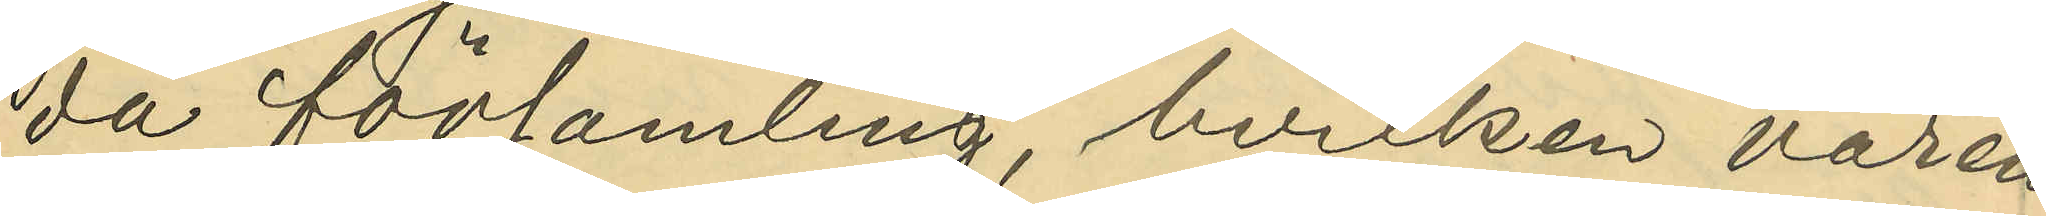da församling, hvilken våren
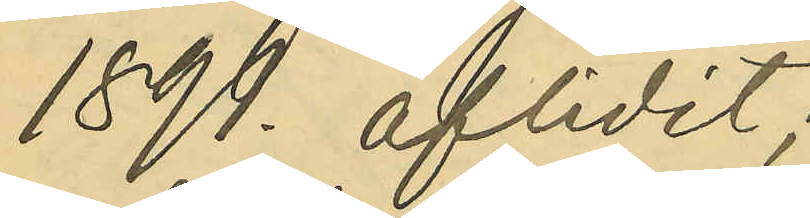1899 aflidit;
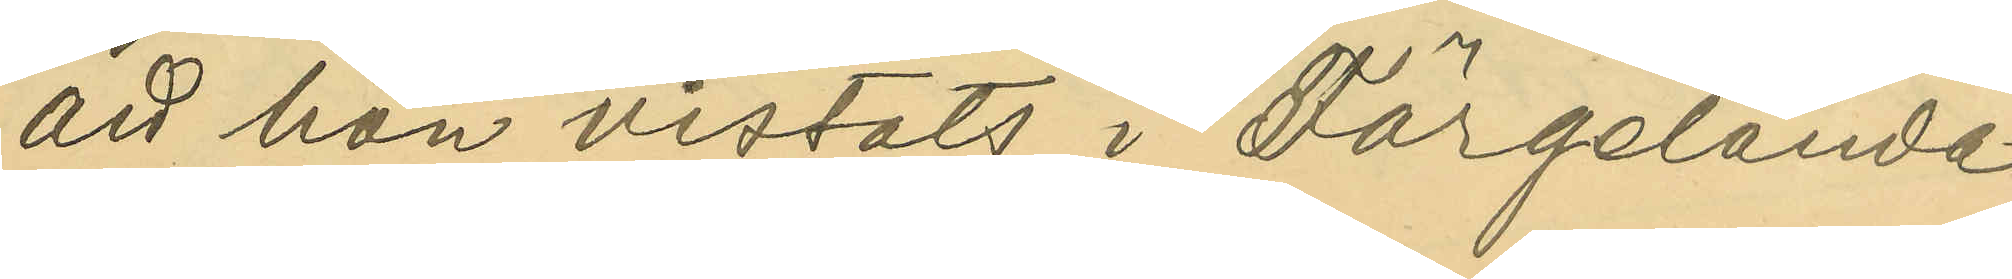att hon vistats i Färgelanda
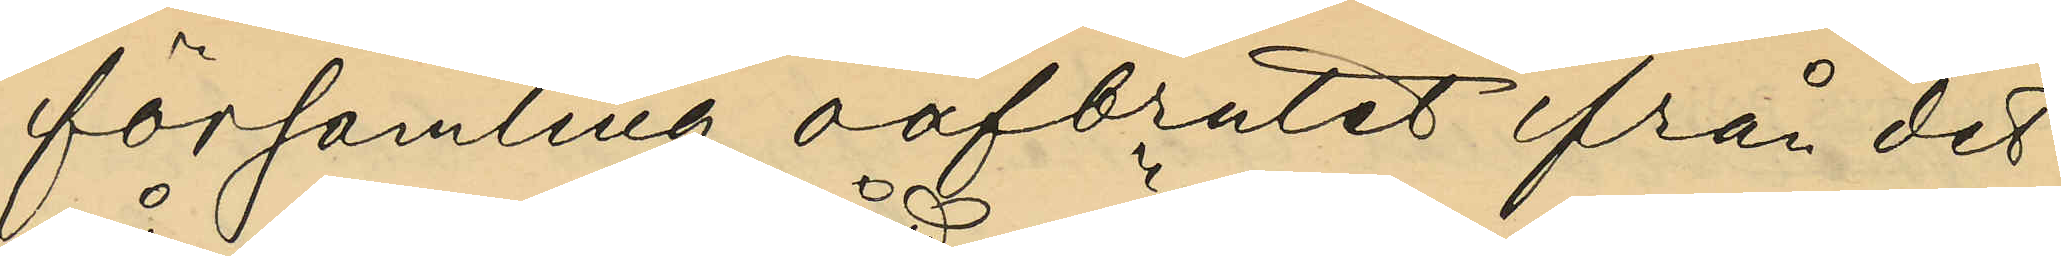församling oafbrutet ifrån det
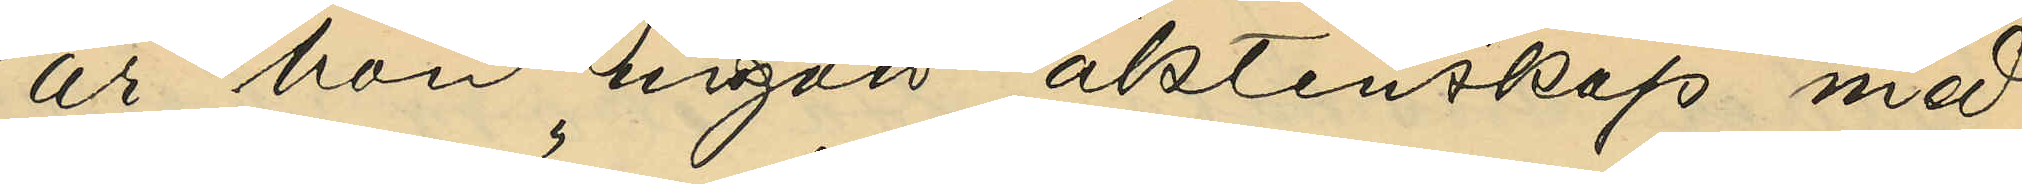år hon ingått äktenskap med
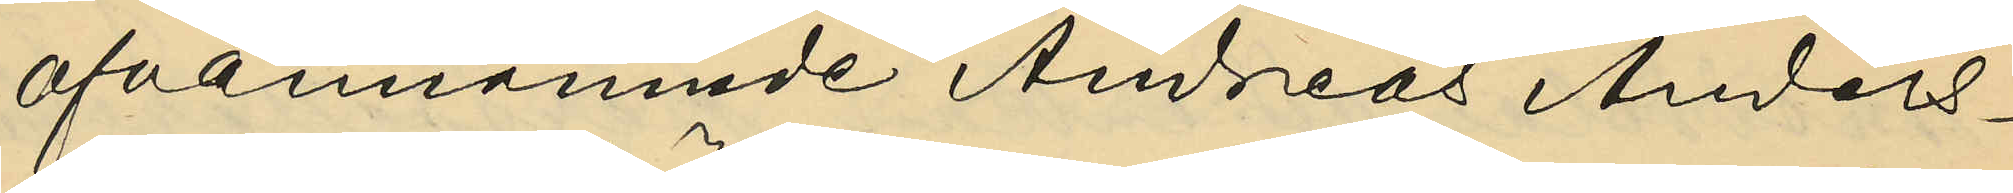ofvannämnde Andreas Anders¬
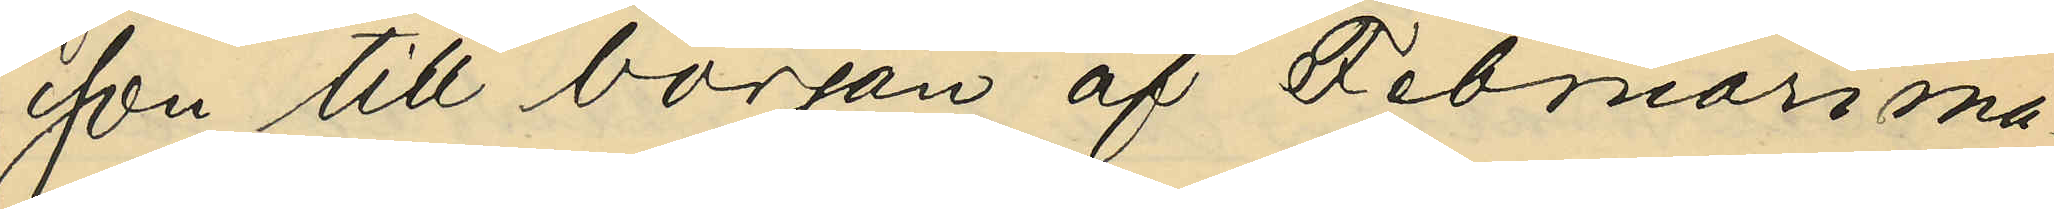son till början af Februari må¬
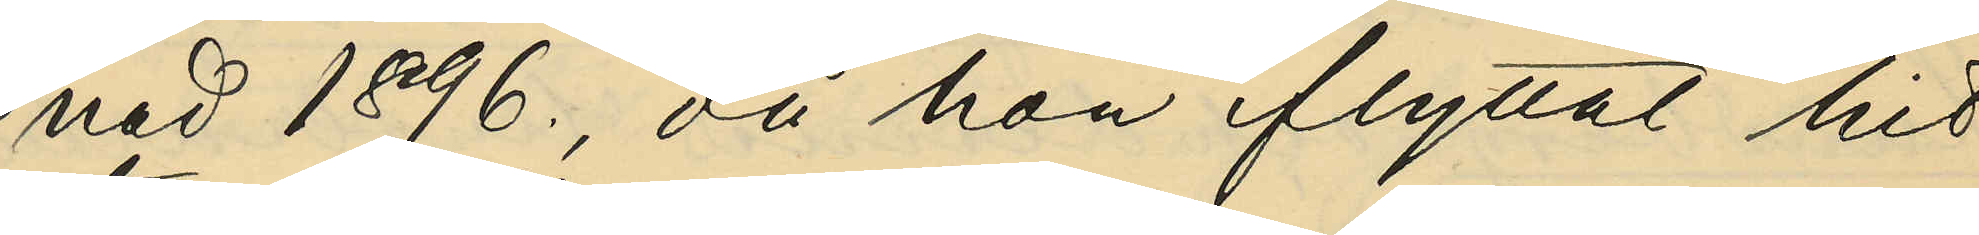nad 1896, då hon flyttat hit 
